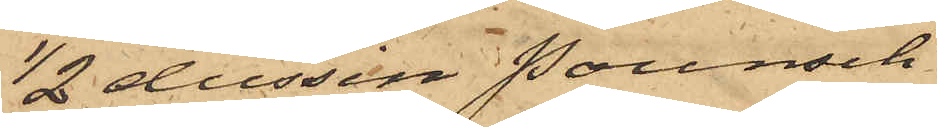1/2 dussin pounsch
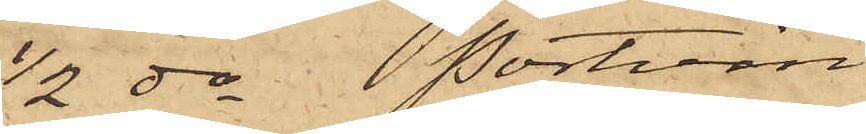1/2 do portvin
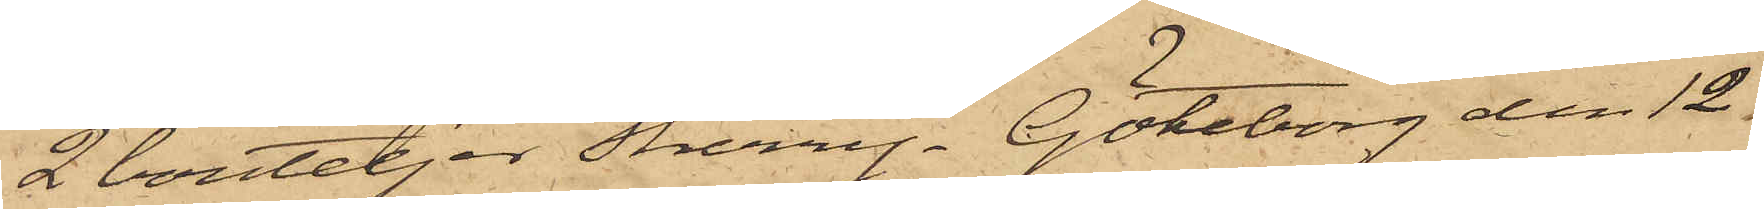2 bouteljer Sherry. Göteborg den 12 i
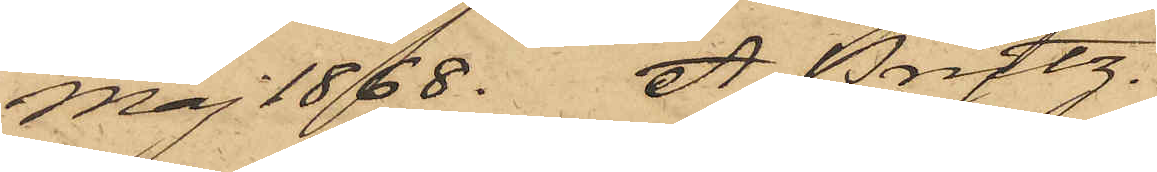Maj 1868. A. Prytz."
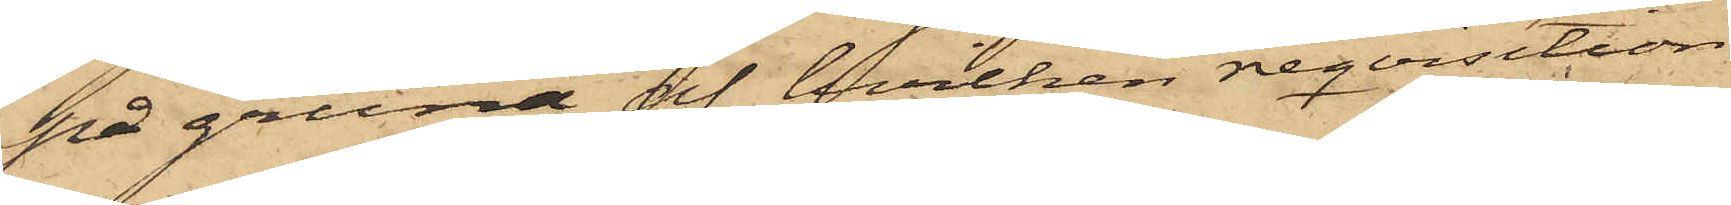på grund af hvilken reqvisition
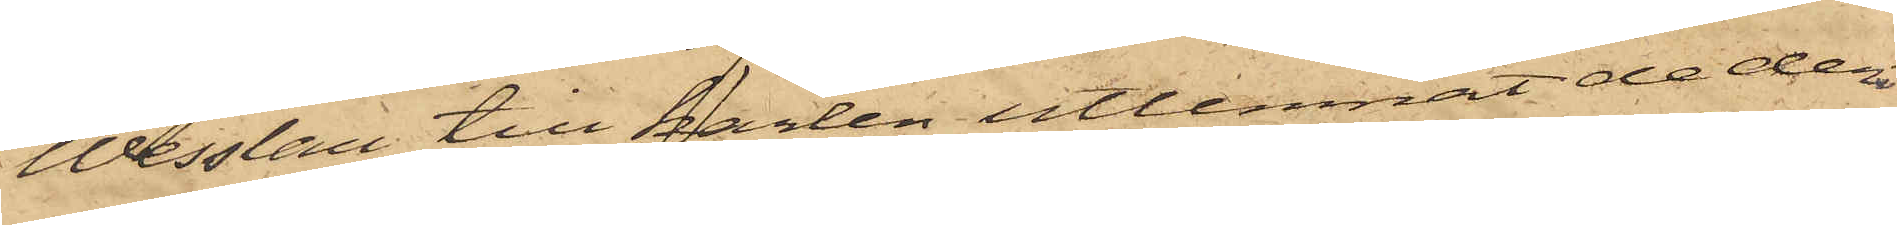Wesslau till karlen utlemnat de deri
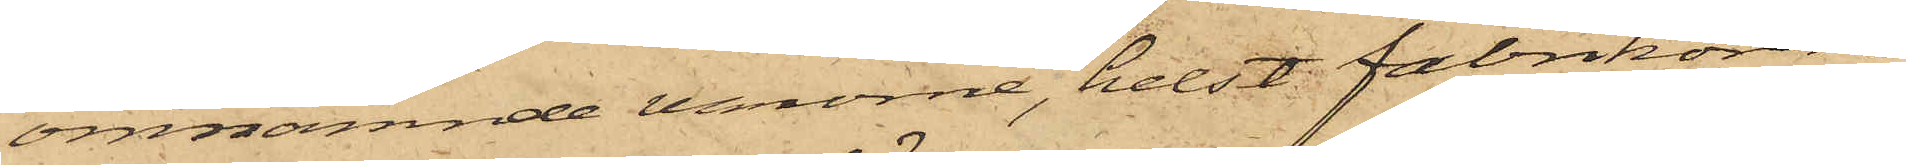omnämnde varorne, helst fabrikören
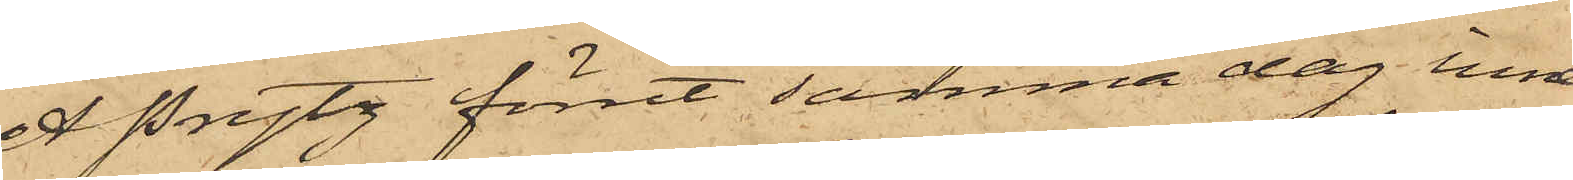A Prytz förut samma dag inne¬
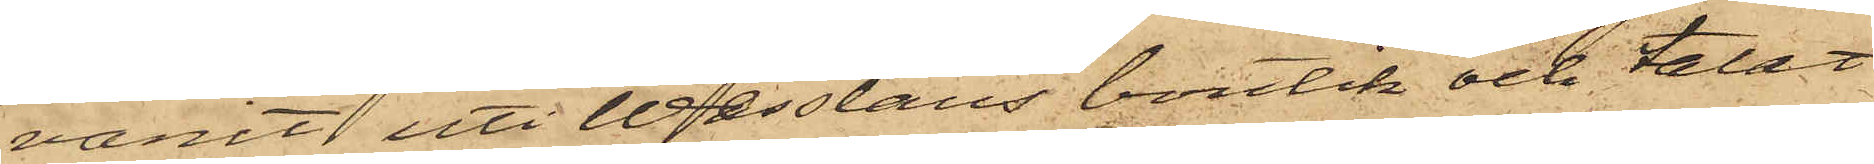varit uti Wesslaus boutik och talat
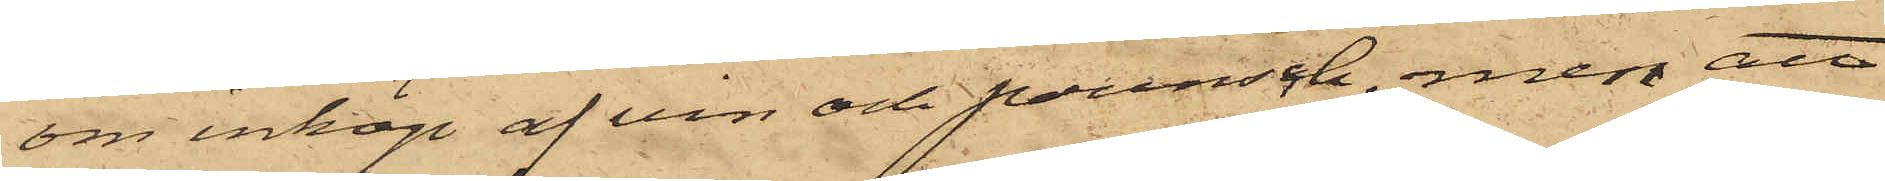om inköp af vin och pounsch, men att
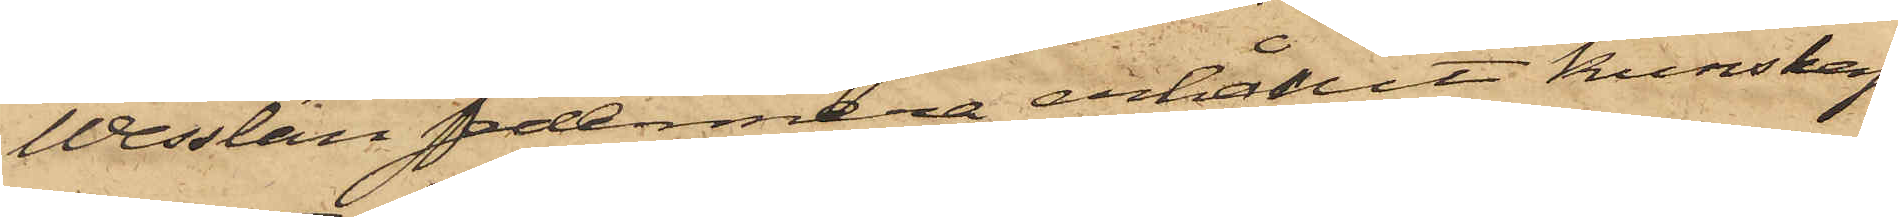Wesslau sedermera erhållit kunskap
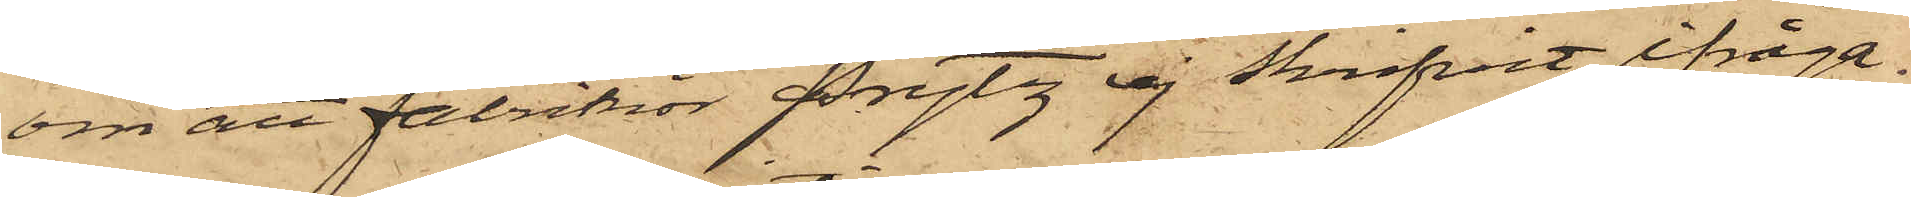om att fabrikör Prytz ej skrifvit ifråga¬
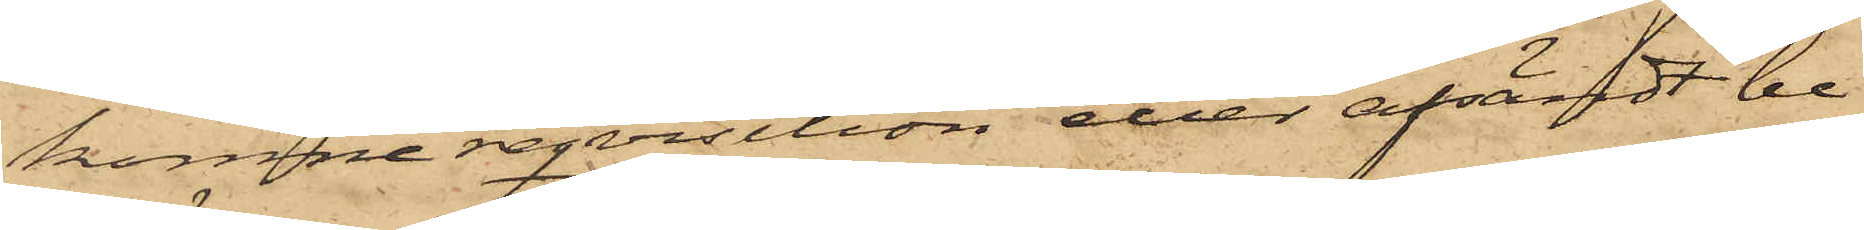komne reqvisition eller afsändt be¬
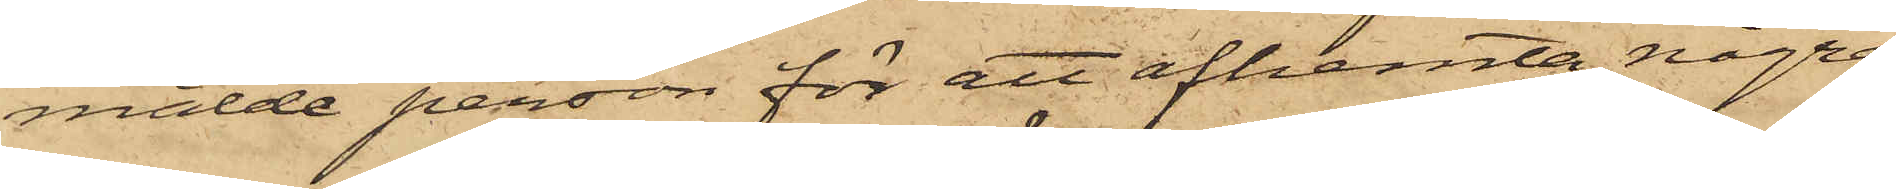mälde person för att afhemta några
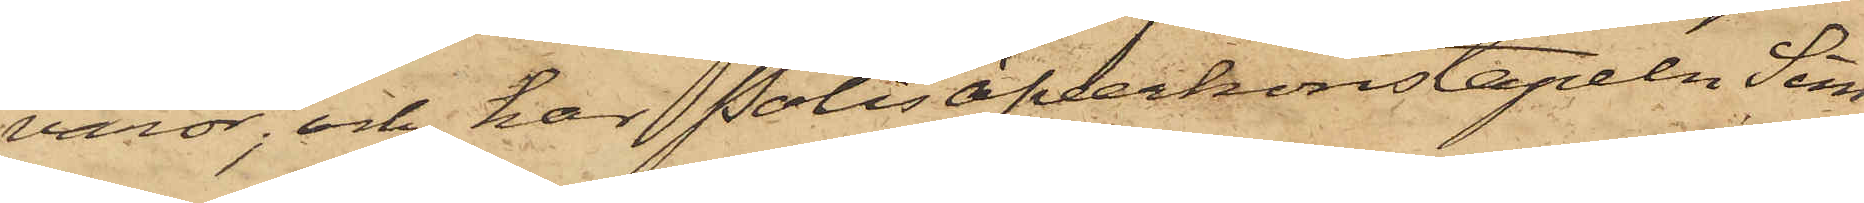varor; och har Polisöfverkonstapeln Sim¬
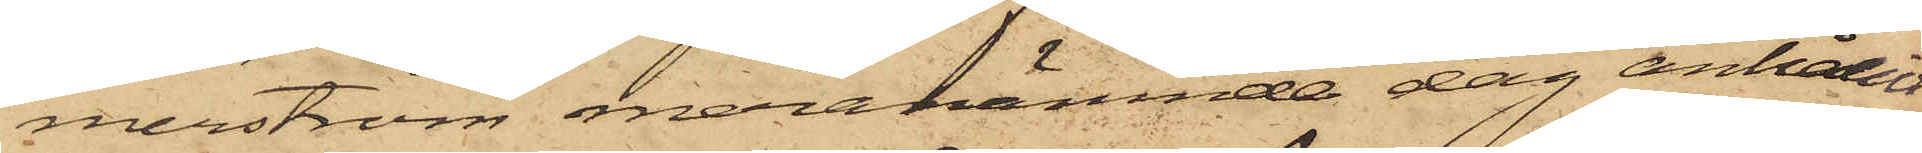merström meranämnde dag anhållit
